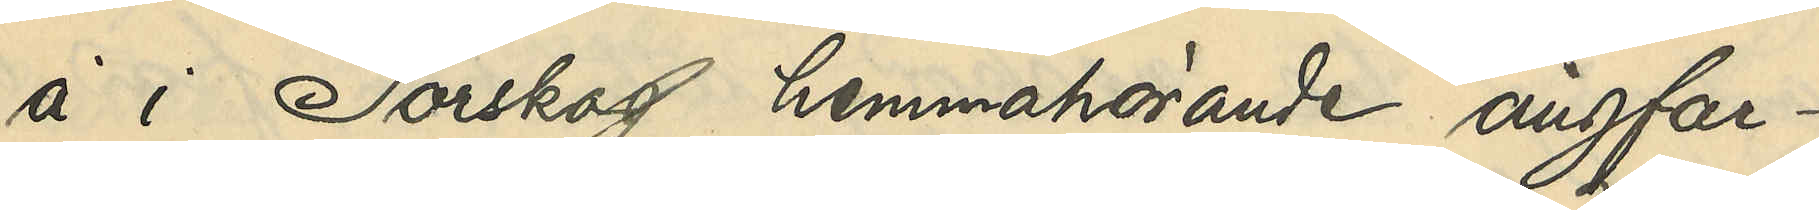å i Torskog hemmahörande ångfar¬
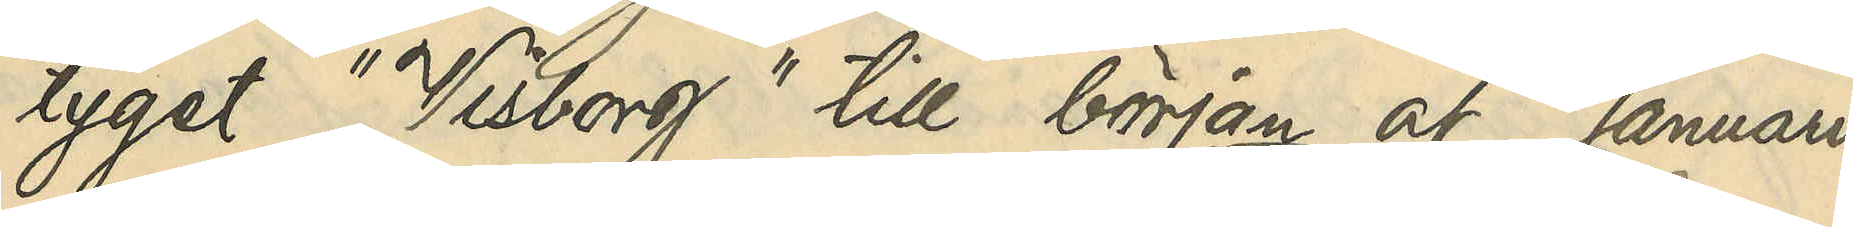tyget "Visborg" till början af Januari
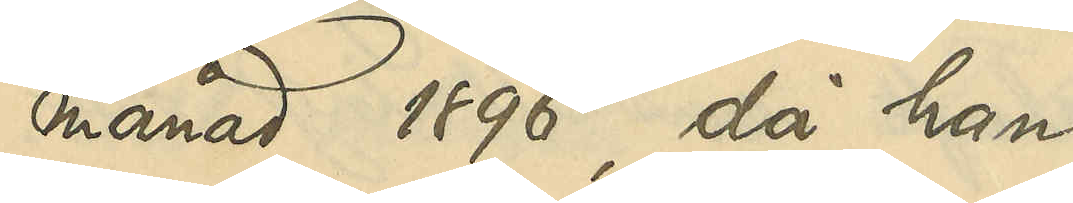månad 1896, då han
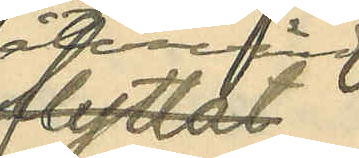återvändt
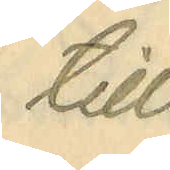till
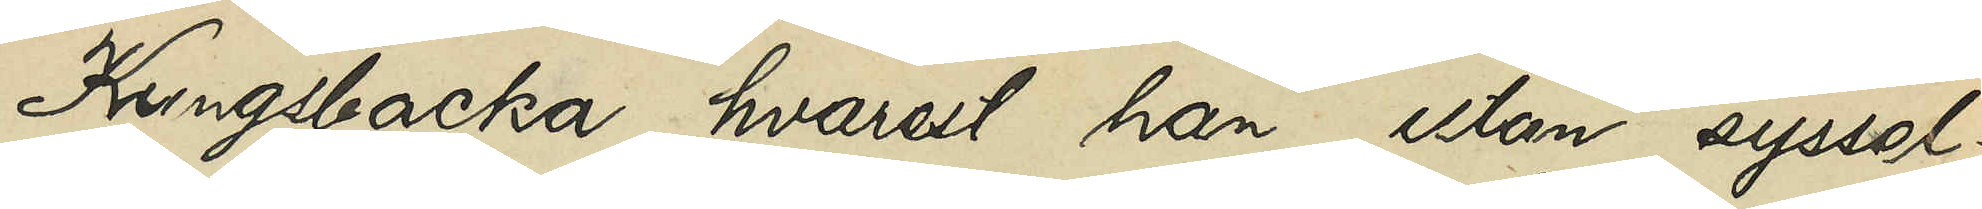Kungsbacka, hvarest han utan syssel¬
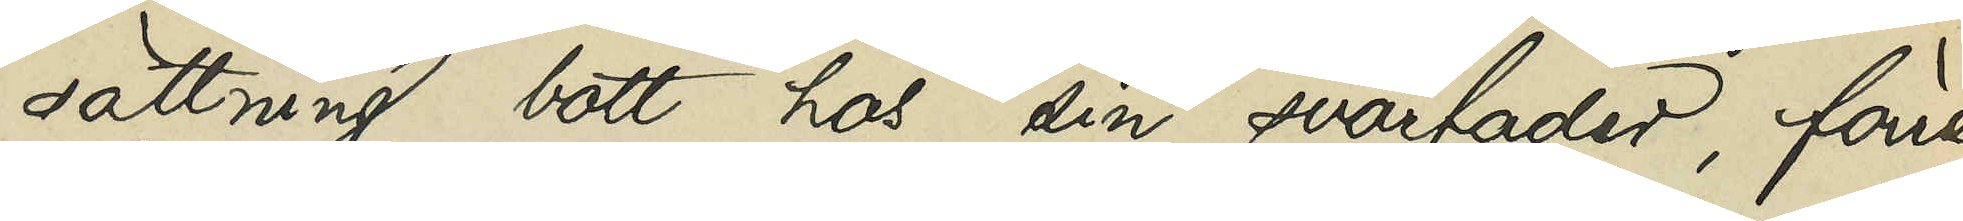sättning bott hos sin svärfader, förre
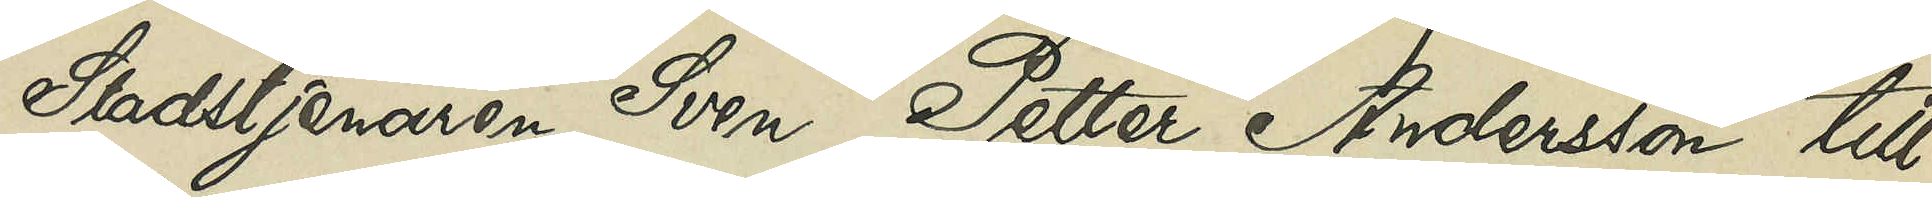Stadstjenaren Sven Petter Andersson till
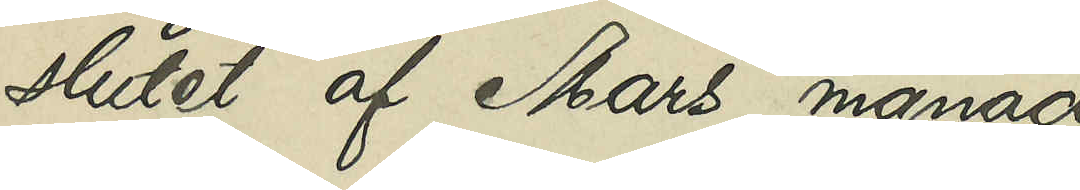slutet af Mars månad
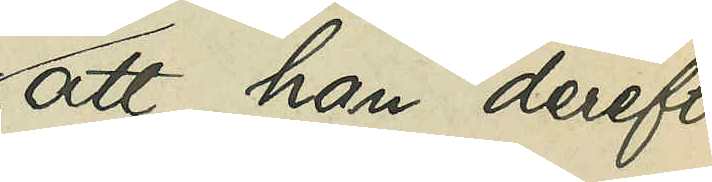att han derefter
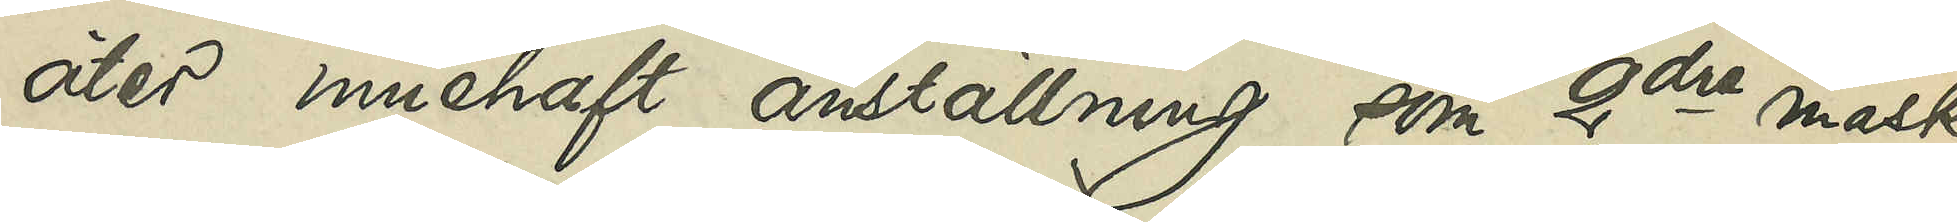åter innehaft anställning som 2dre maski¬
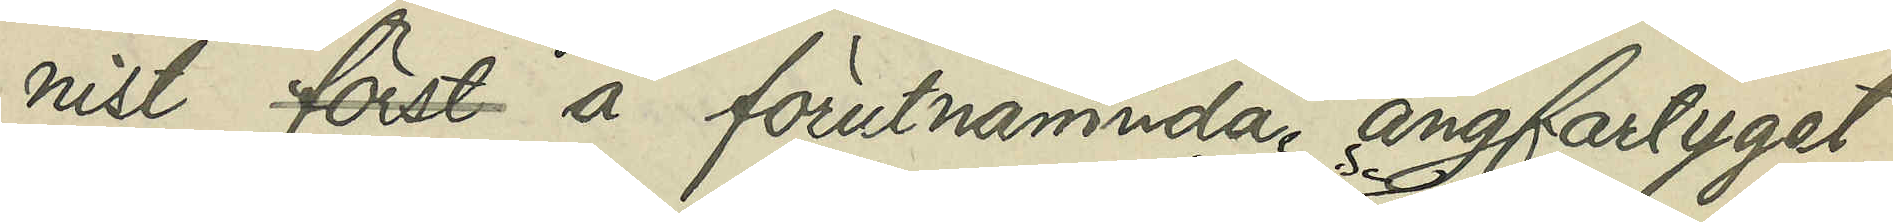nist först å förutnämnda ångfatyget
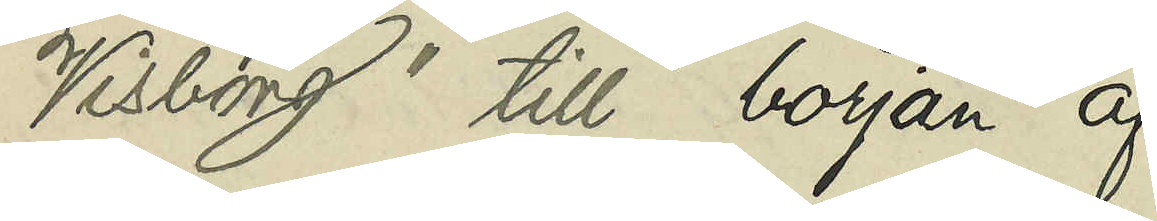"Visborg" till början af
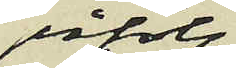påföljde
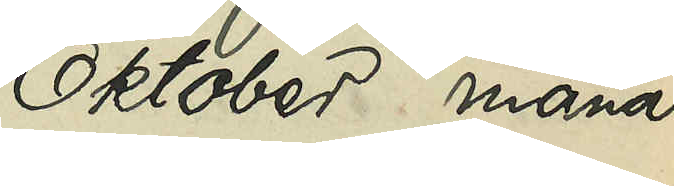Oktober månad
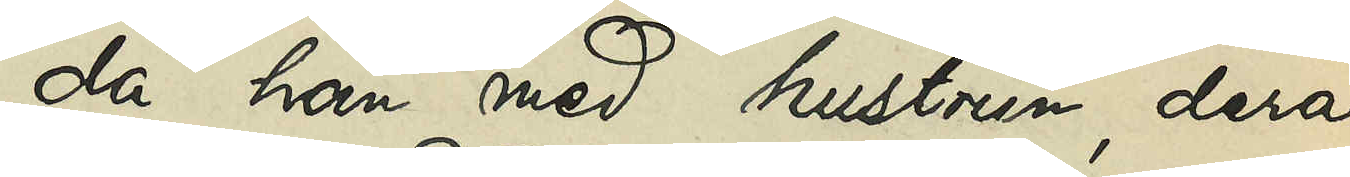 då han med hustrun, deras
